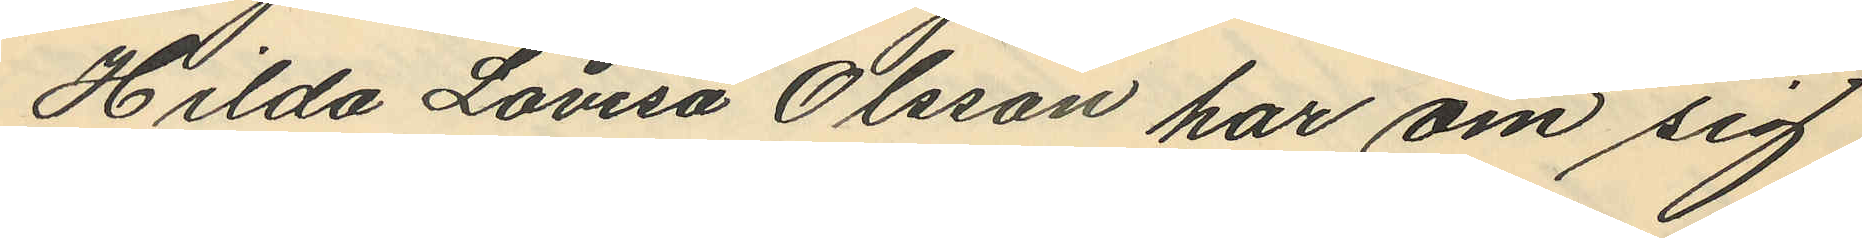Hilda Lovisa Olsson har om sig
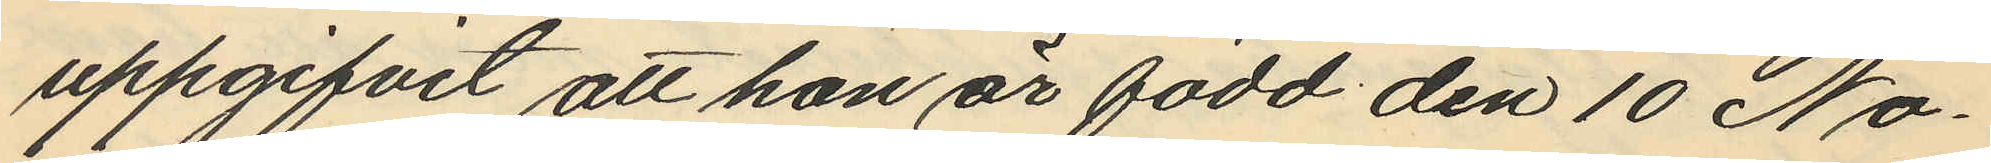uppgifvit att hon är född den 10 No¬
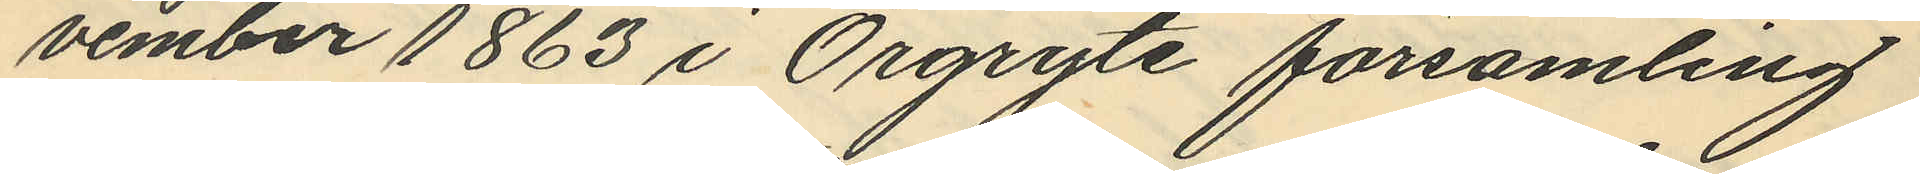vember 1863 i Örgryte församling
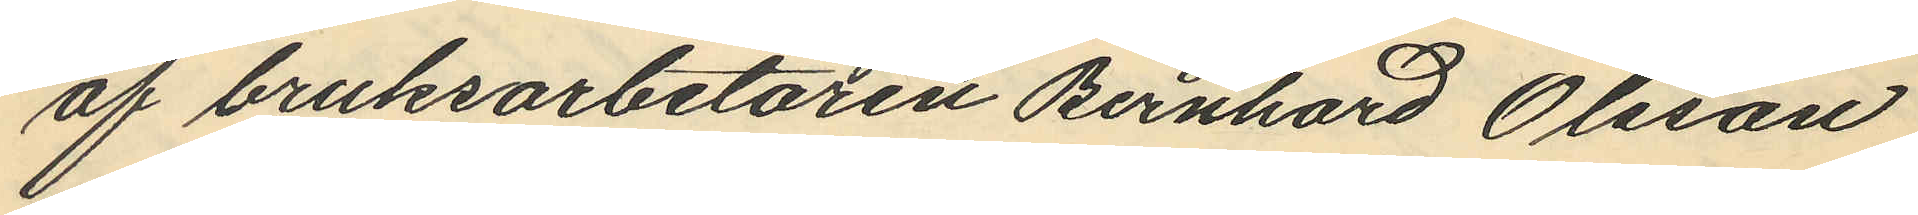af bruksarbetaren Bernhard Olsson
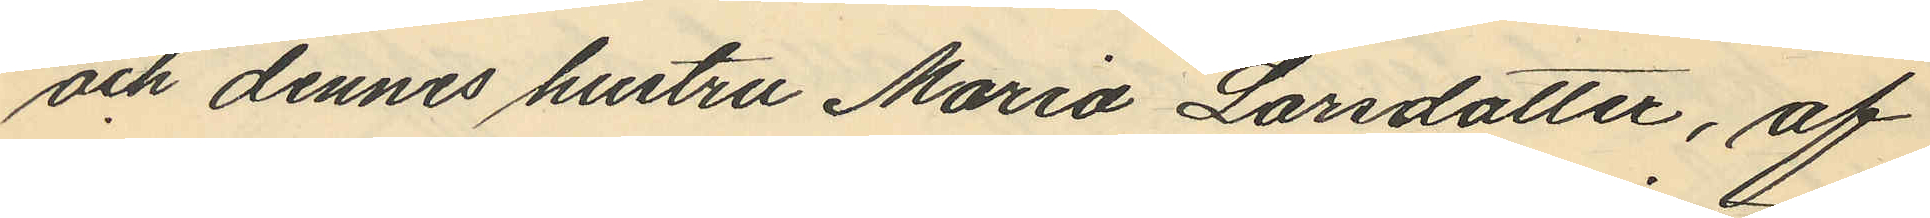och dennes hustru Maria Larsdotter, af
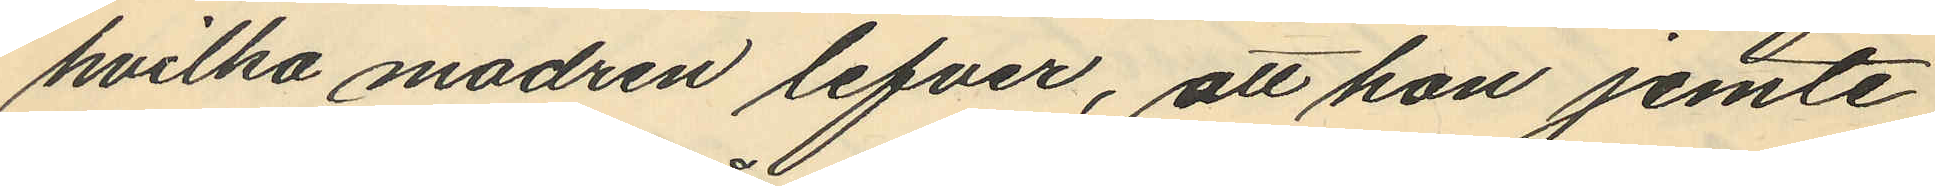hvilka modren lefver, att hon jemte
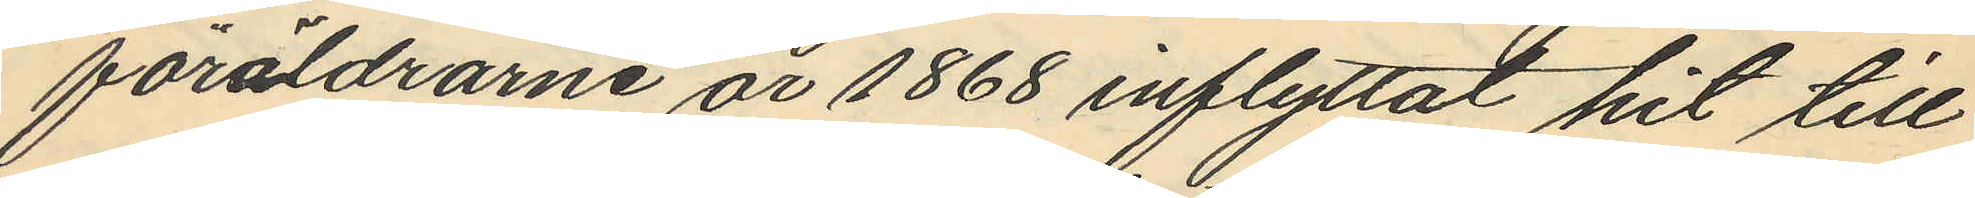föräldrarne år 1868 inflyttat hit till
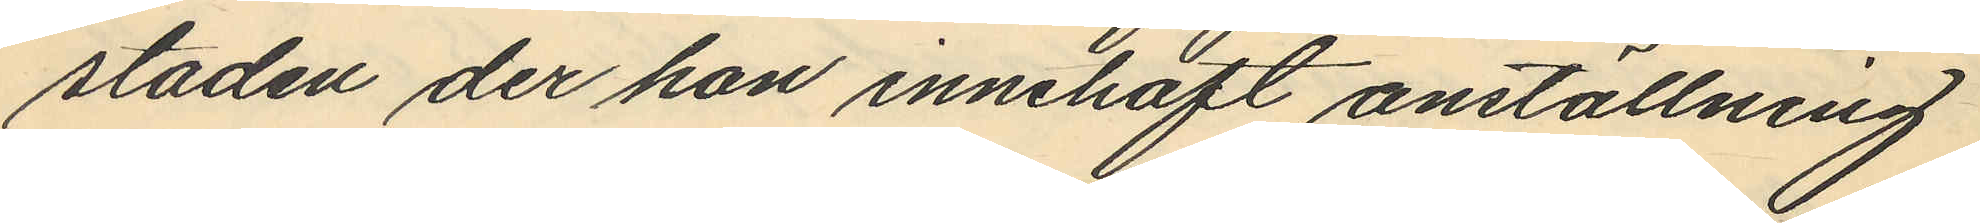staden der hon innehaft anställning
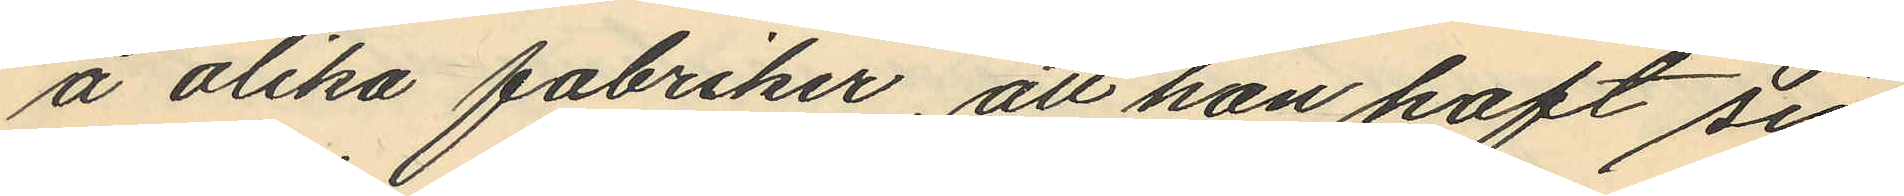å olika fabriker, att hon haft sin
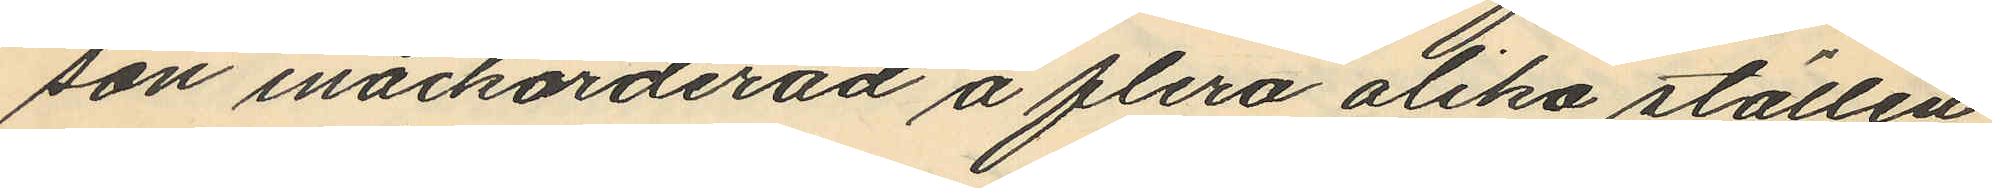son inackorderad å flera olika ställen
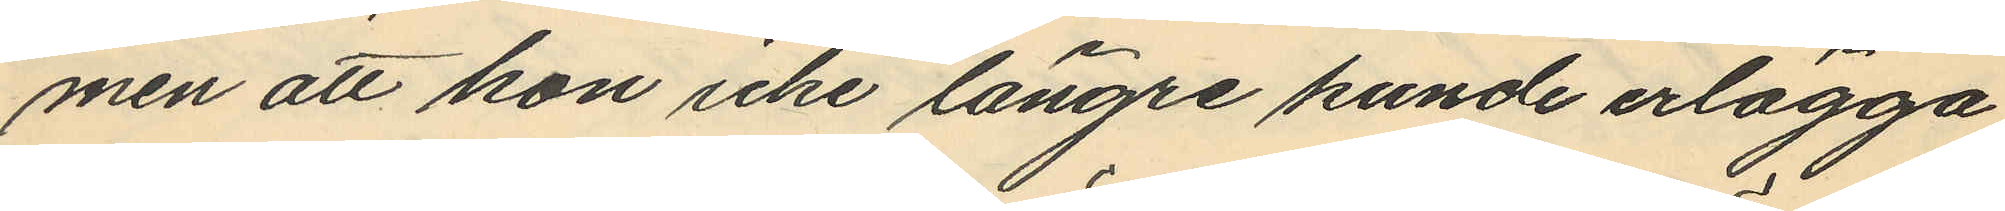men att hon icke längre kunde erlägga
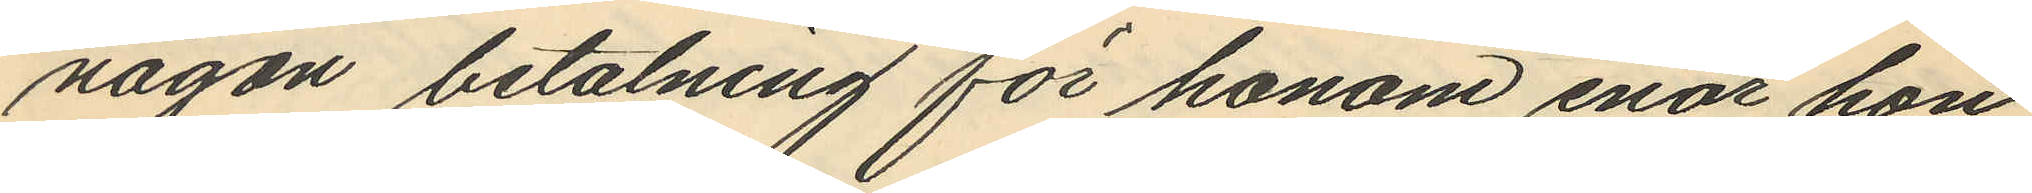någon betalning för honom enär hon
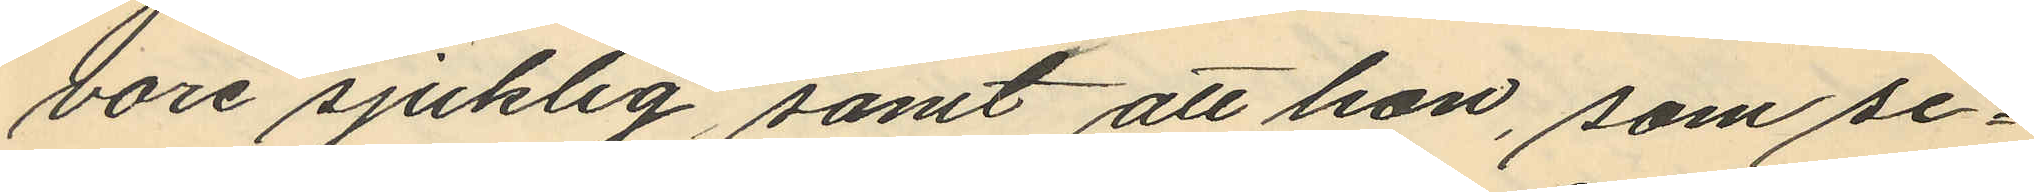vore sjuklig samt att hon, som se¬
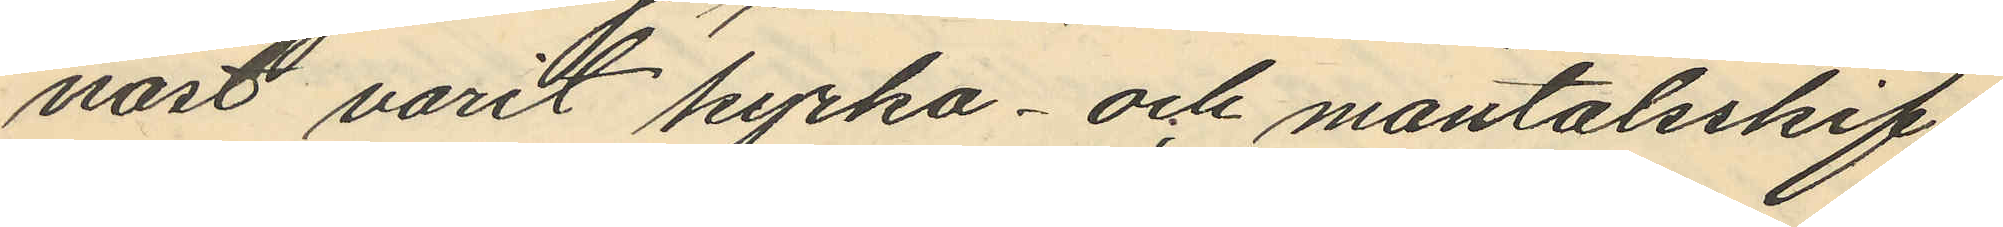näst varit kyrko - och mantalsskif¬
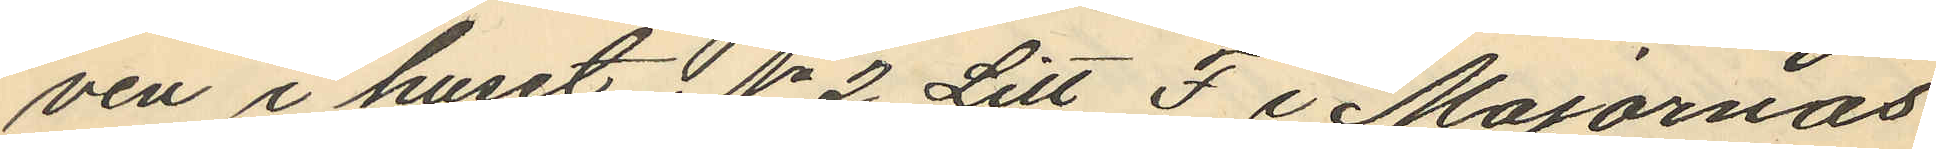ven i huset No 2 Litt F i Majornas
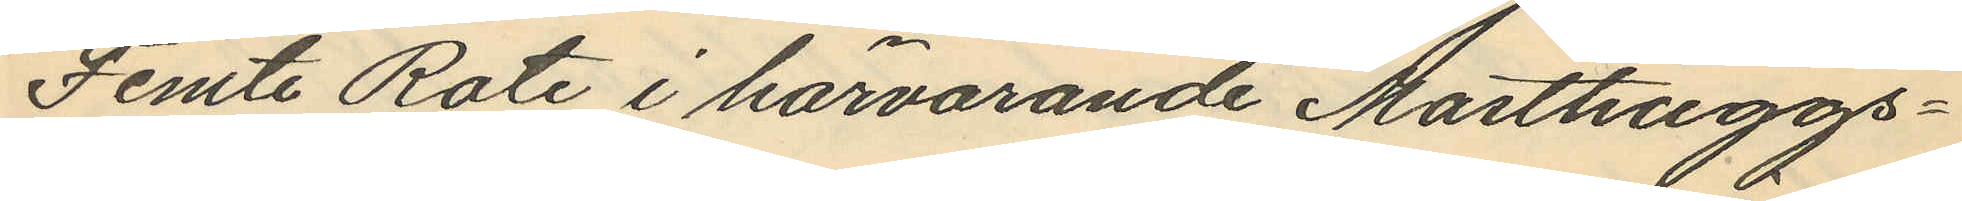Femte Rote i härvarande Masthuggs¬
